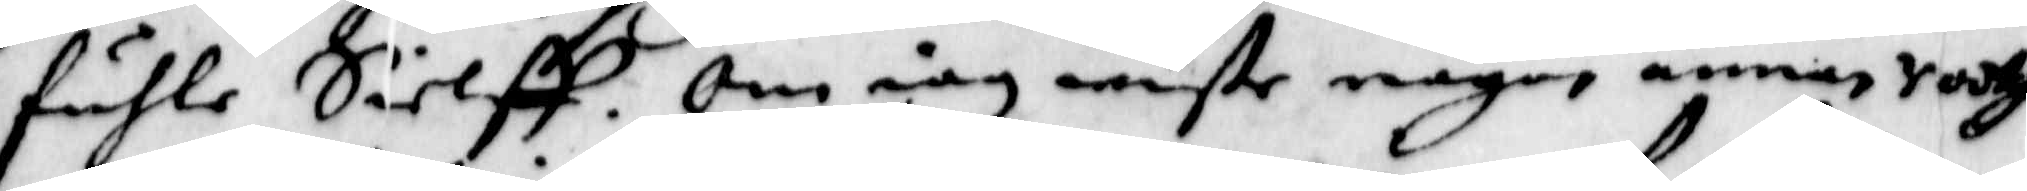fuhle Sielff. Om iag wiste någon annan sodtg
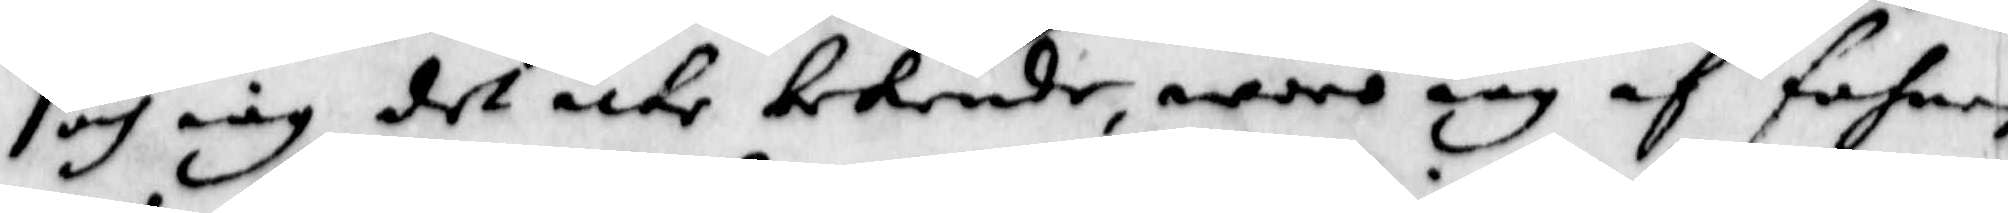och iag det icke bekende, woro iag af fahnen
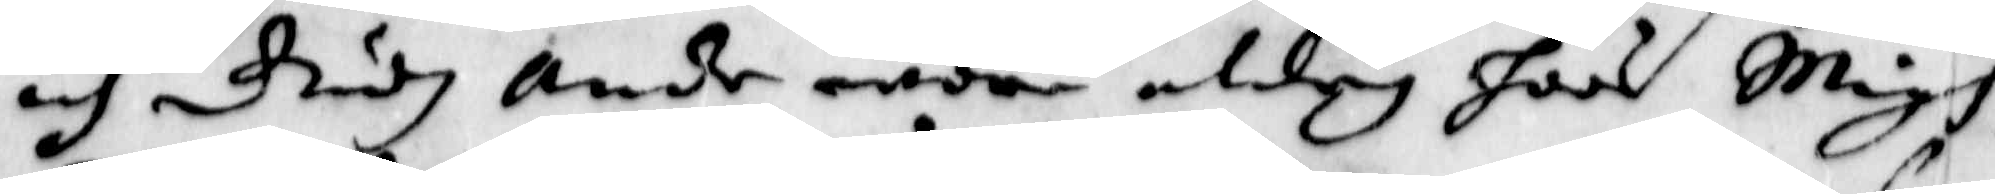och Gudz ande war aldrig hoos Migh
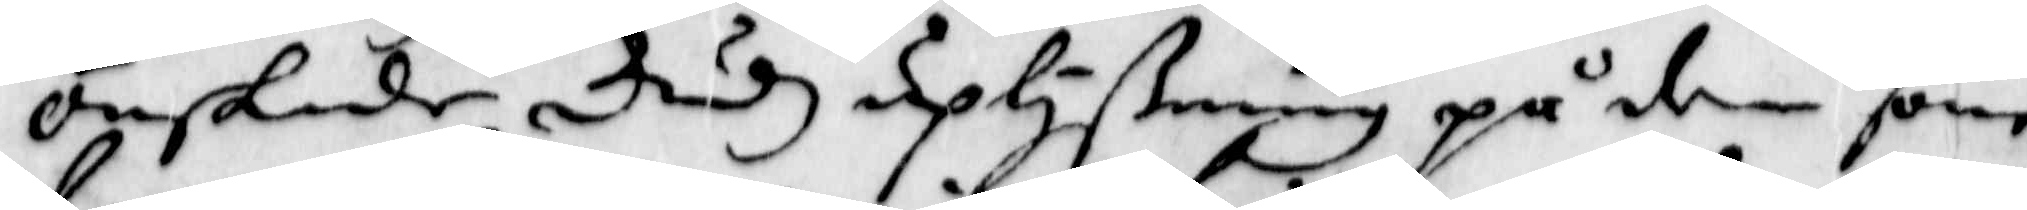ösnakde Gudz uplyßning på den som
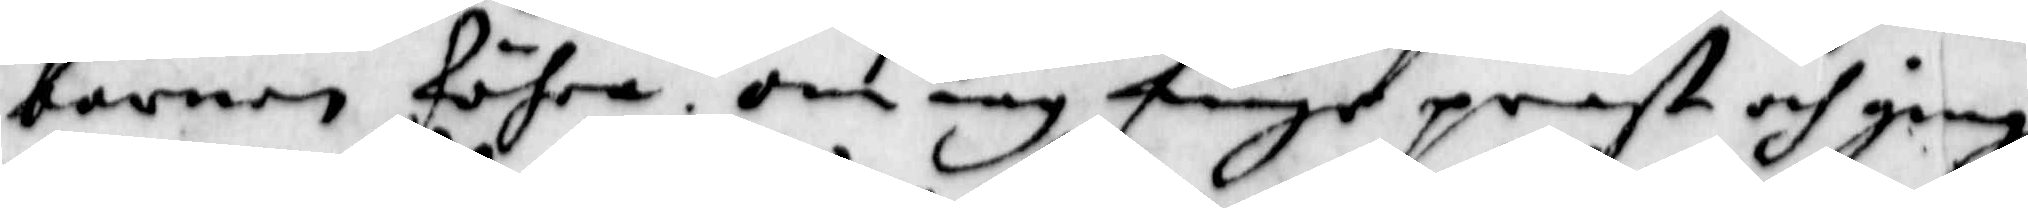barnen föhra, om iag finge präst och ginge
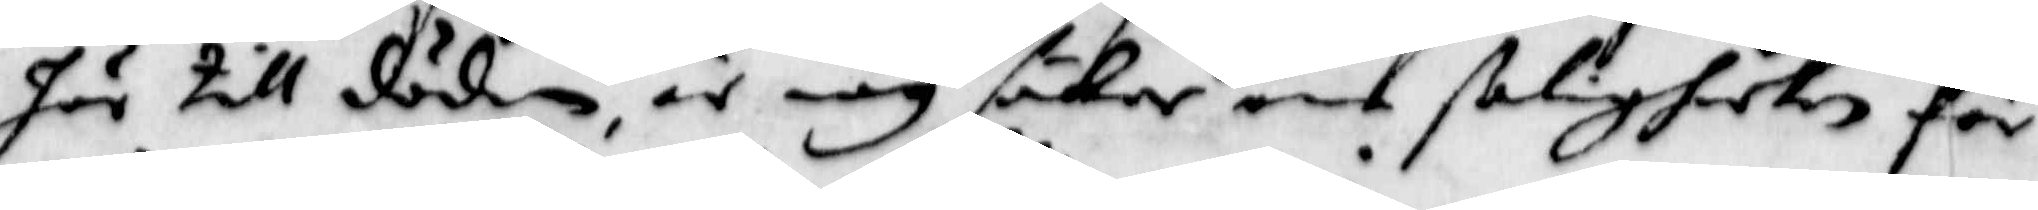här till döden, är iag säker om ßaligheeten för
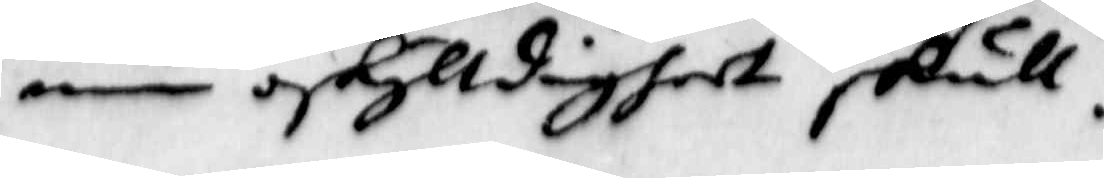min oskylldigheet skull.
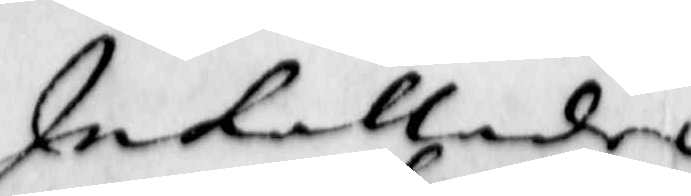Inkallades
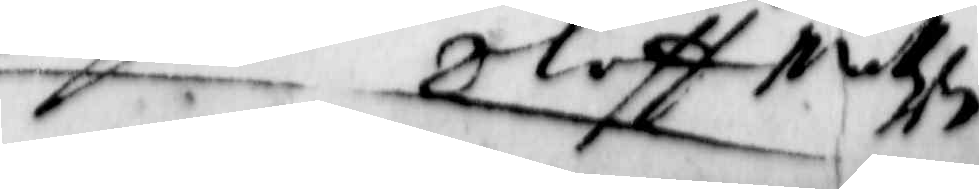Oluff Mattz
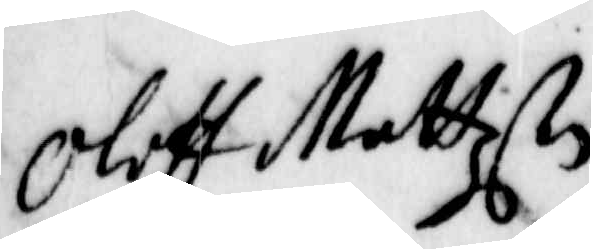Oluff Mattzon. 
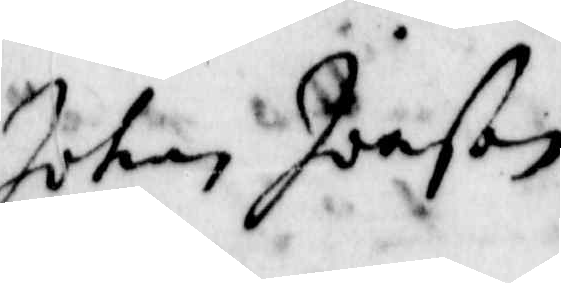Johan Joeßon.
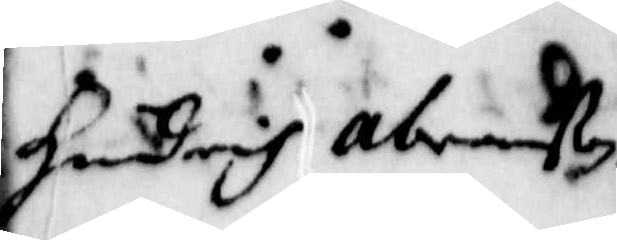Hendrich Abranßon.
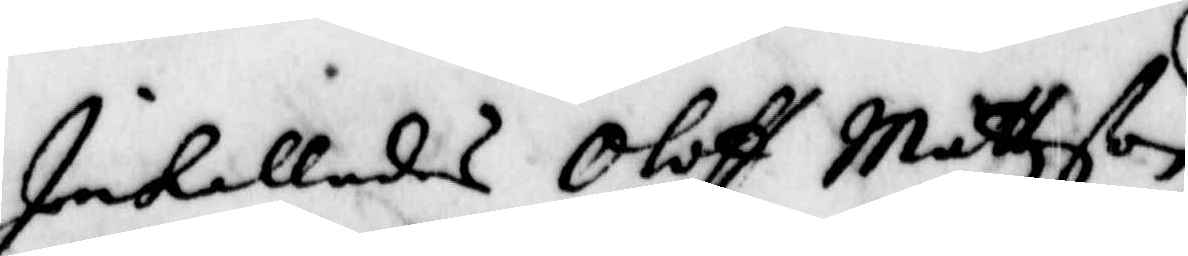Inkallades Oluff Mattzson 
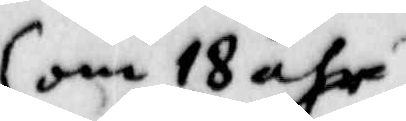om 18 åhr
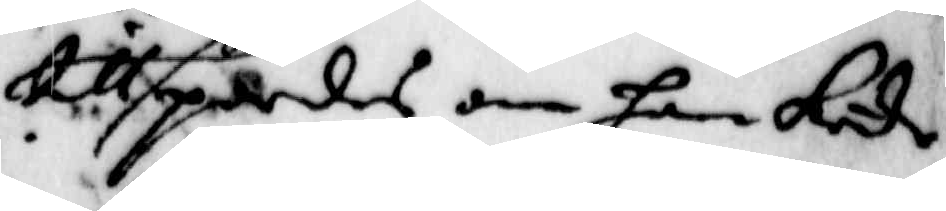tillspordes om han kände
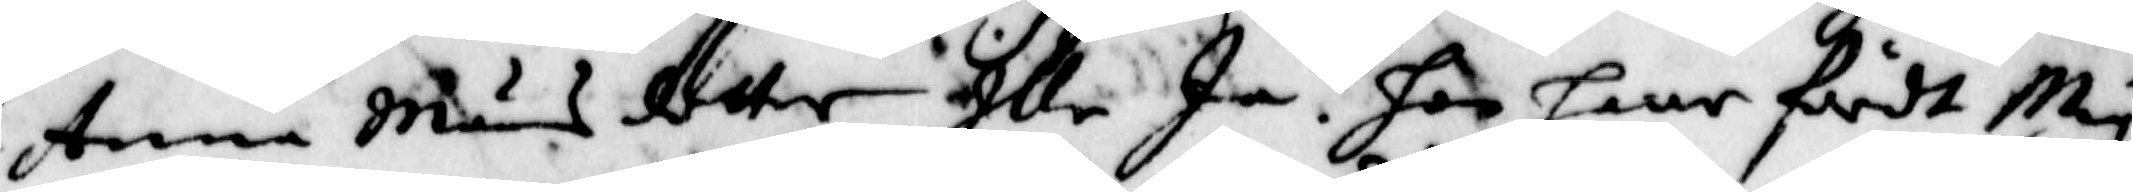Anna Måns dotter Illa Ja. hon haar fördt Mig
